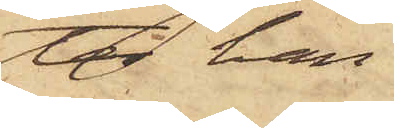ter han
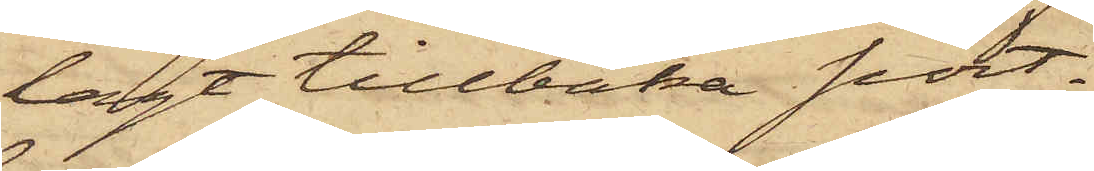lagt tillbaka port¬
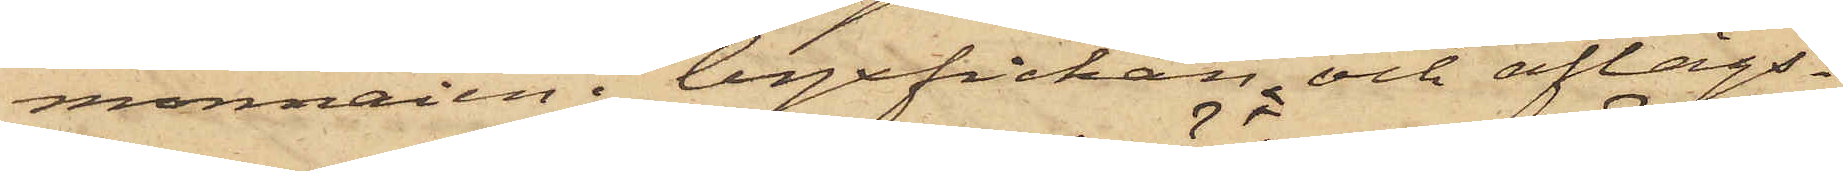monnaien i byxfickan och aflägs¬
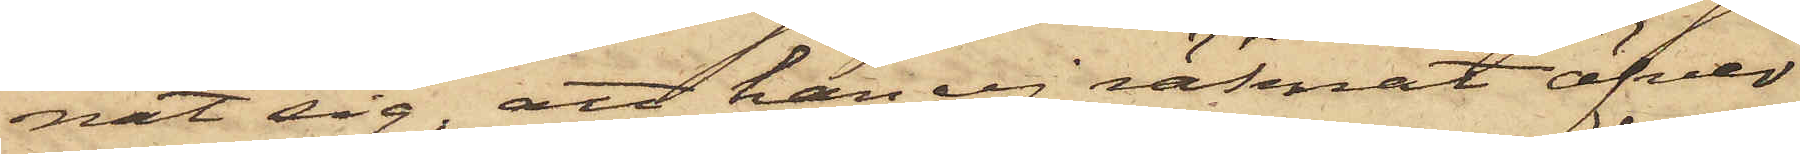nat sig; att han ej räknat öfver
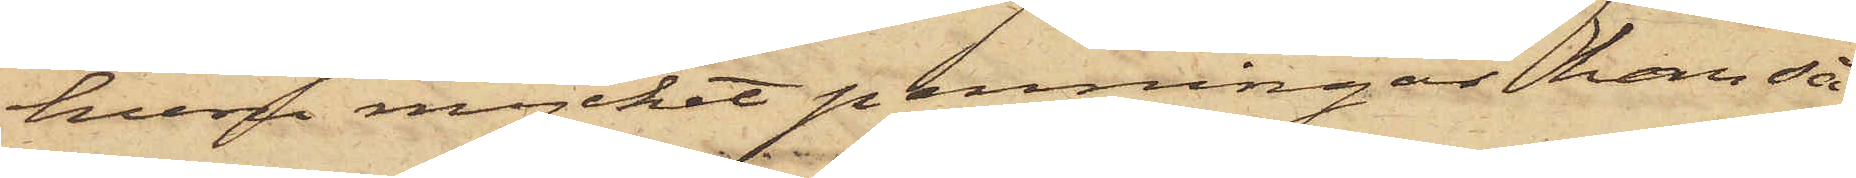huru mycket penningar han så¬
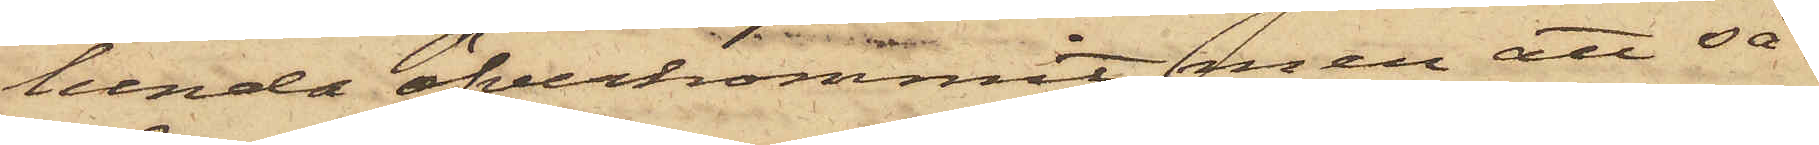lunda öfverkommit, men att så¬
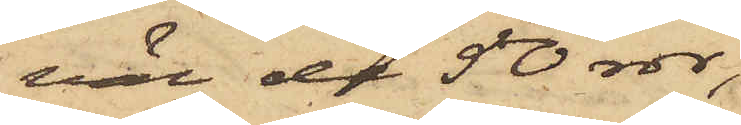väl de 50 rdr,
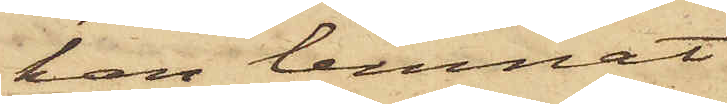han lemnat
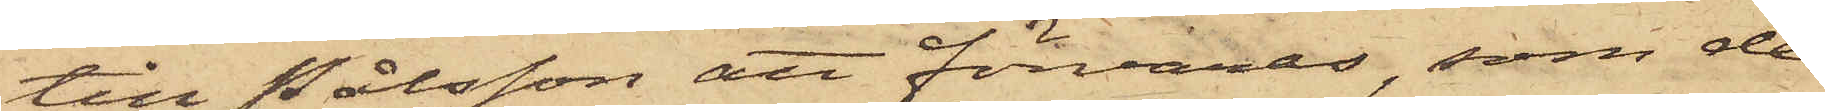till Pålsson att förvaras, som de
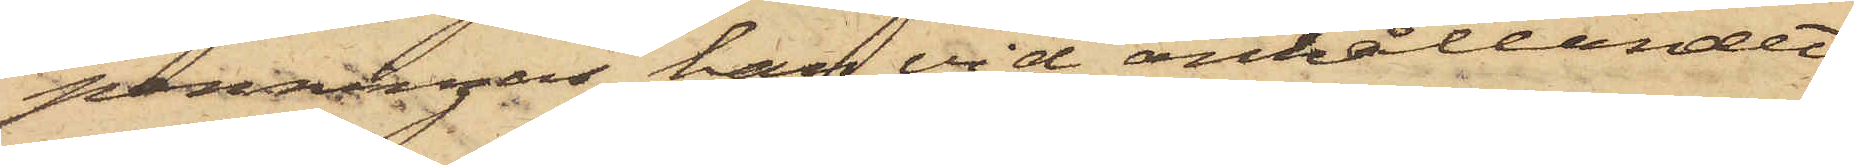penningar han vid anhållandet
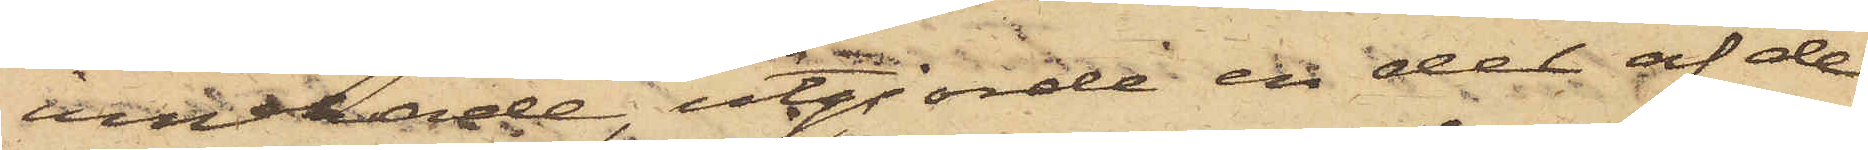innehade utgjorde en del af de
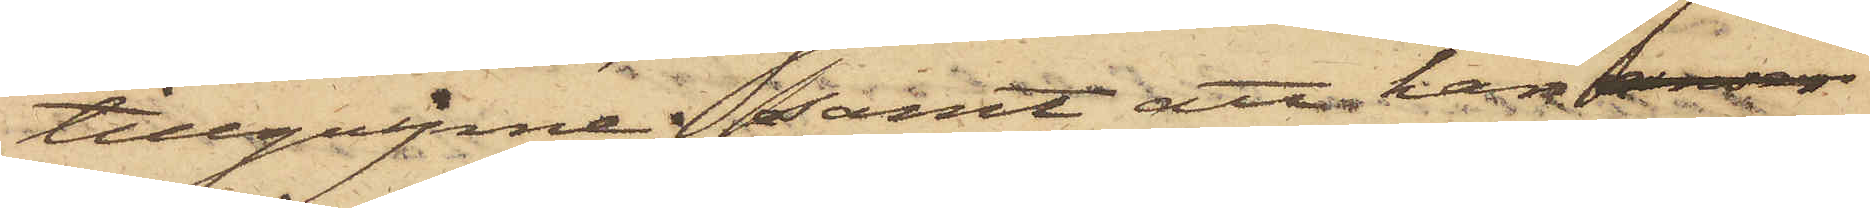tillgripne; samt att han 
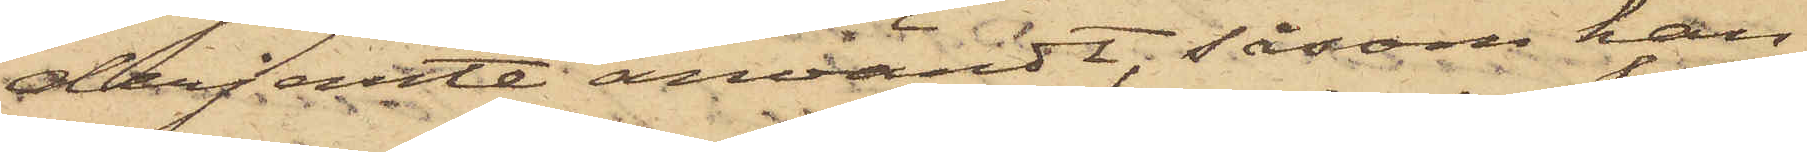derjemte användt, såsom han
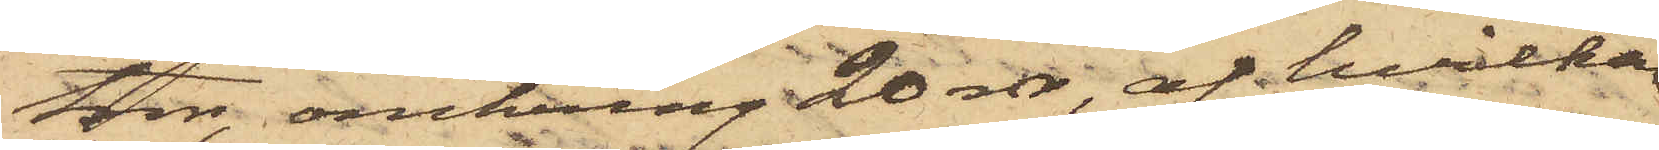tror, omkring 20 rdr, af hvilka
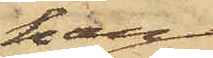han
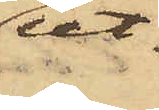ut¬
